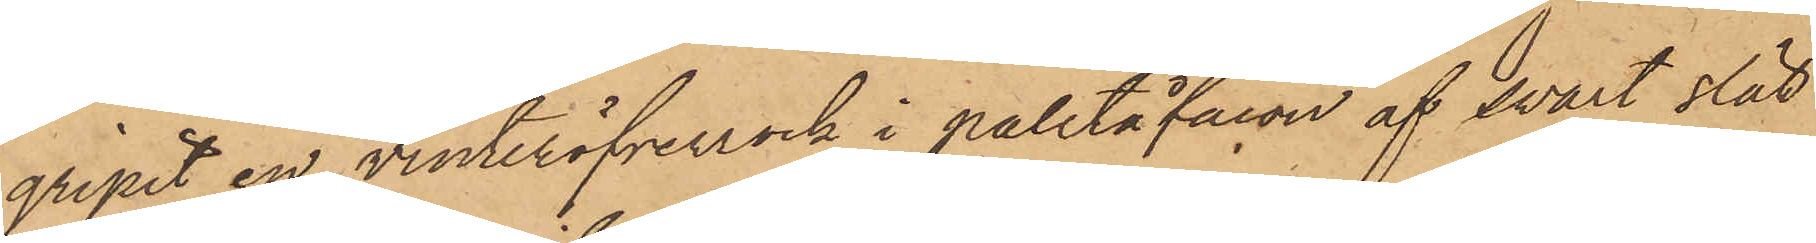gripit en vinteröfverrock i paletåfacon af svart slät
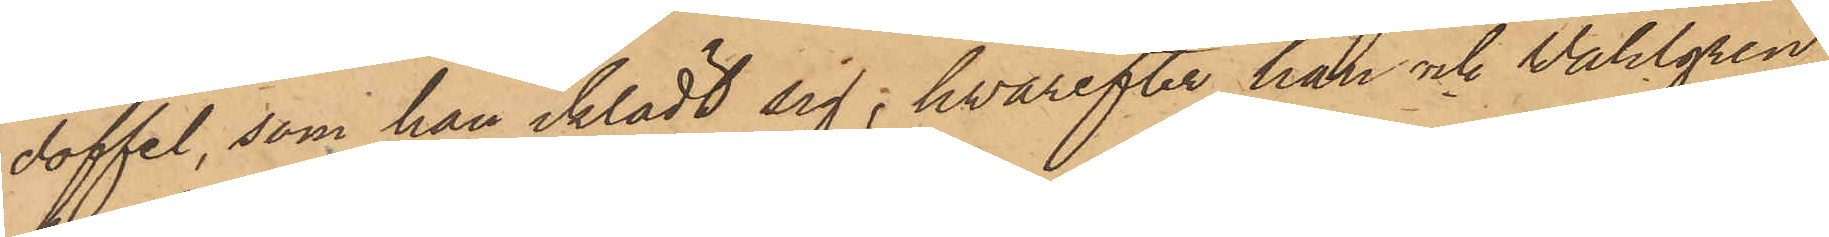doffel, som han iklädt sig; hvarefter han och Wahlgren
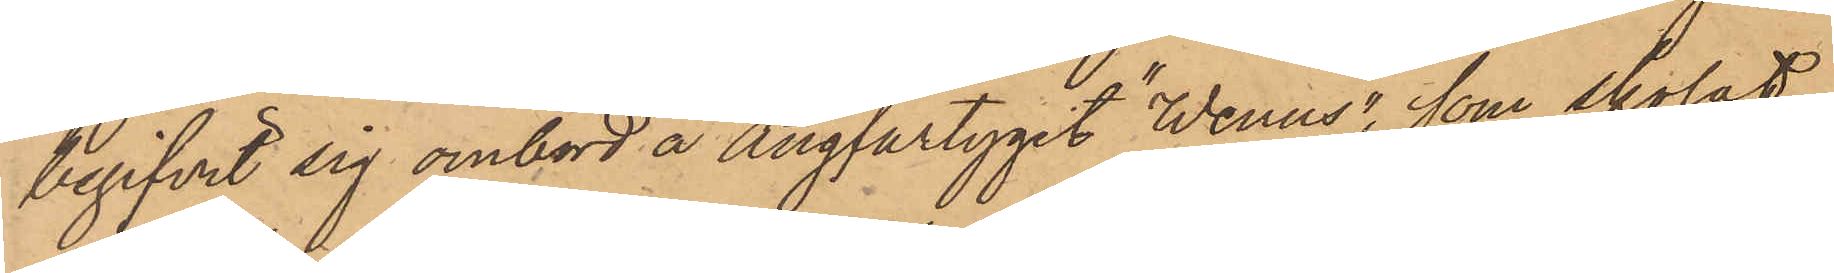begifvit sig ombord å Ångfartyget "Wenus", som skolat
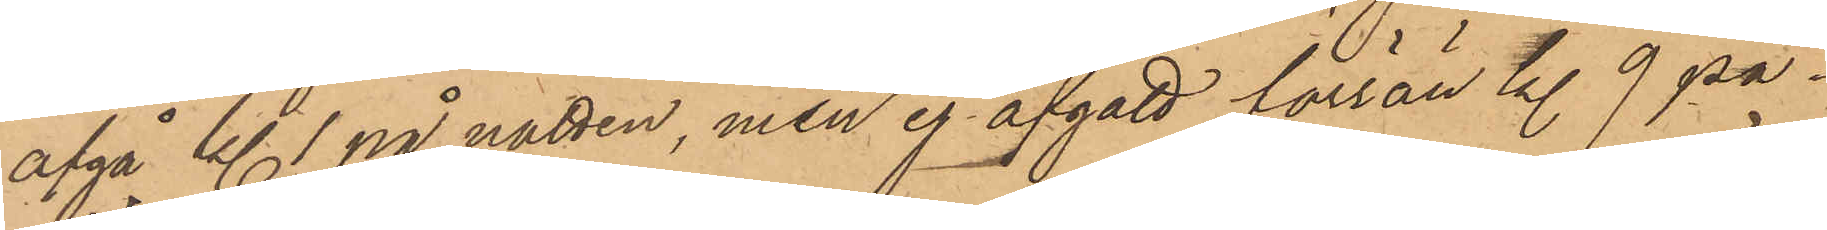afgå kl 1 på natten, men ej afgått förrän kl 9 på¬
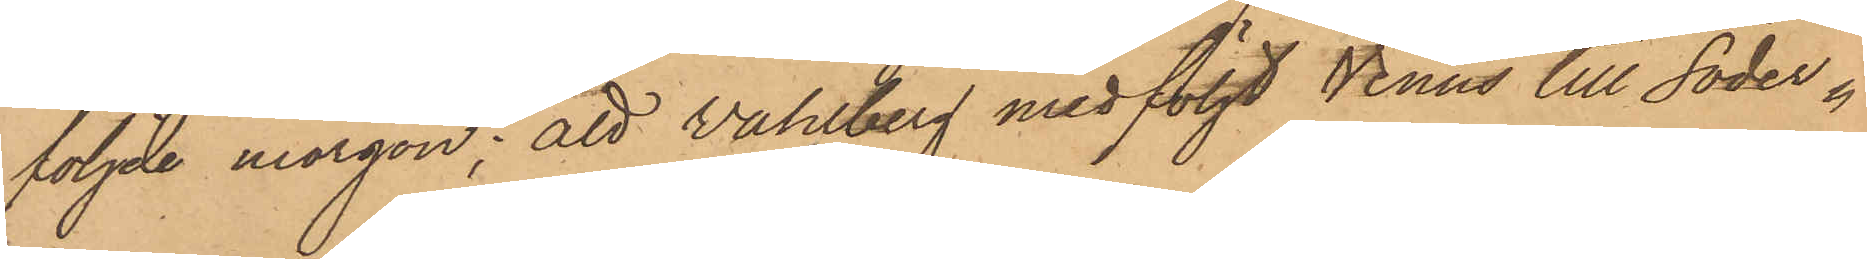följde morgon; att Wahlberg medföljt Venus till Söder¬
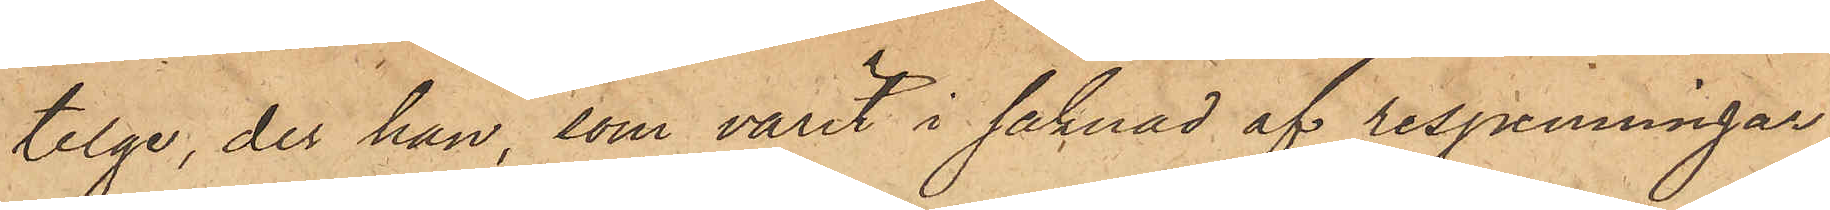telge, der han, som varit i saknad af respenningar,
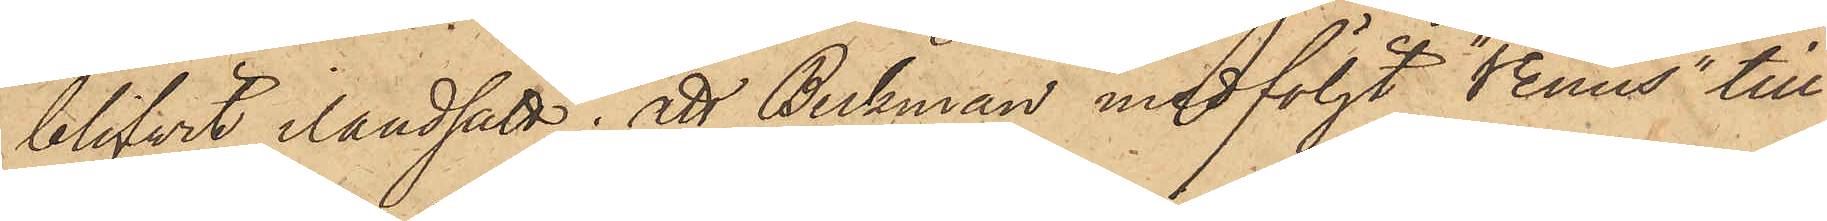blifvit ilandsatt; att Beckman medföljt "Venus" till
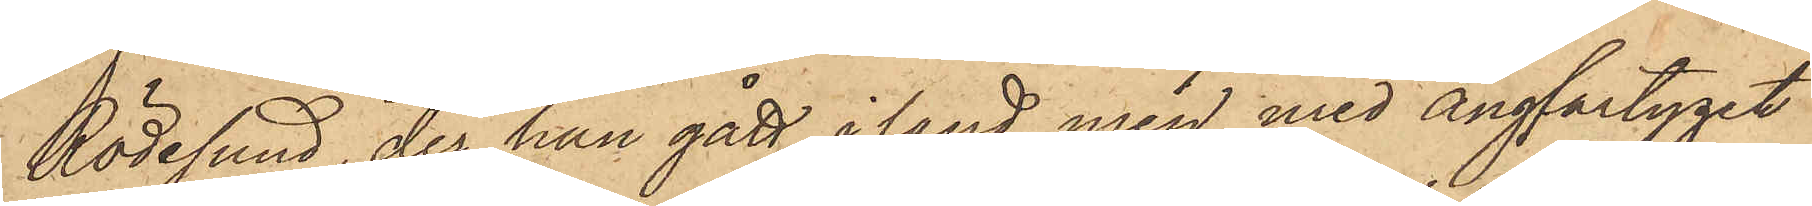Rödesund, der han gått iland men med Ångfartyget
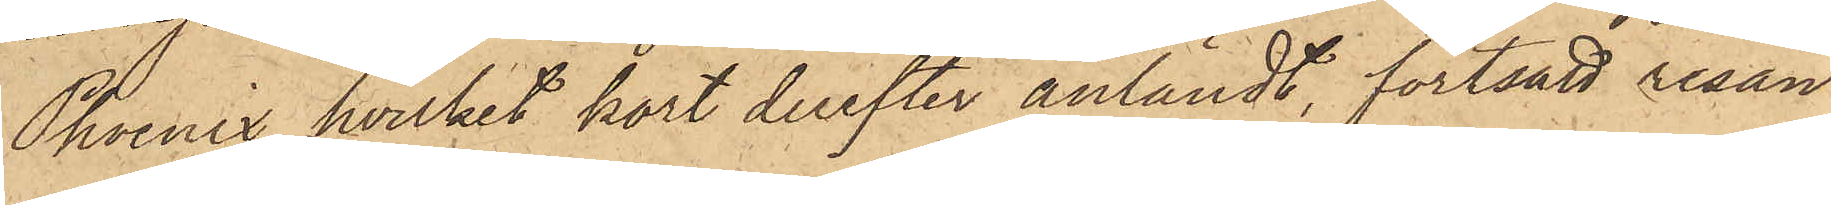Phoenix, hvilket kort derefter anländt, fortsatt resan
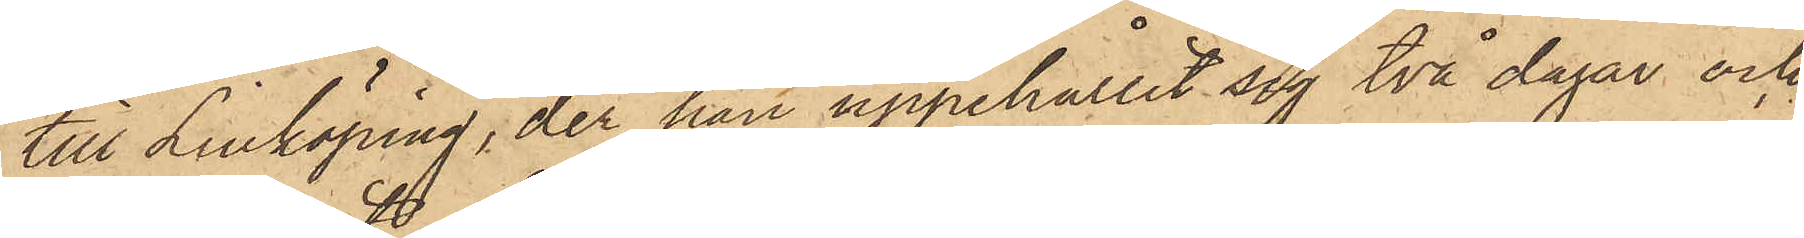till Linköping, der han uppehållit sig två dagar och
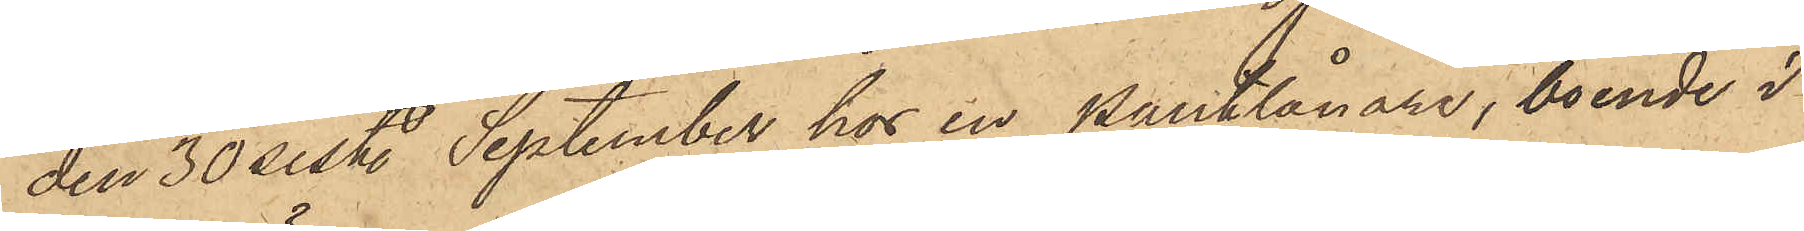den 30 sist. September hos en pantlånare, boende i
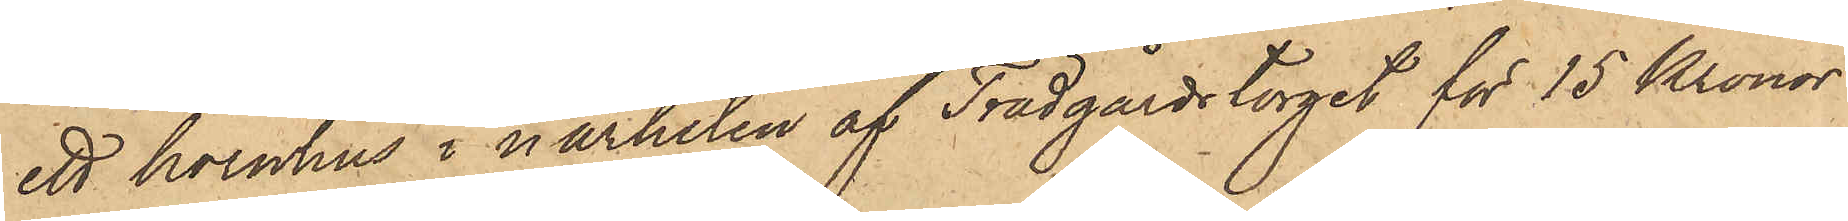ett hörnhus i närheten af Trädgårdstorget för 15 Kronor
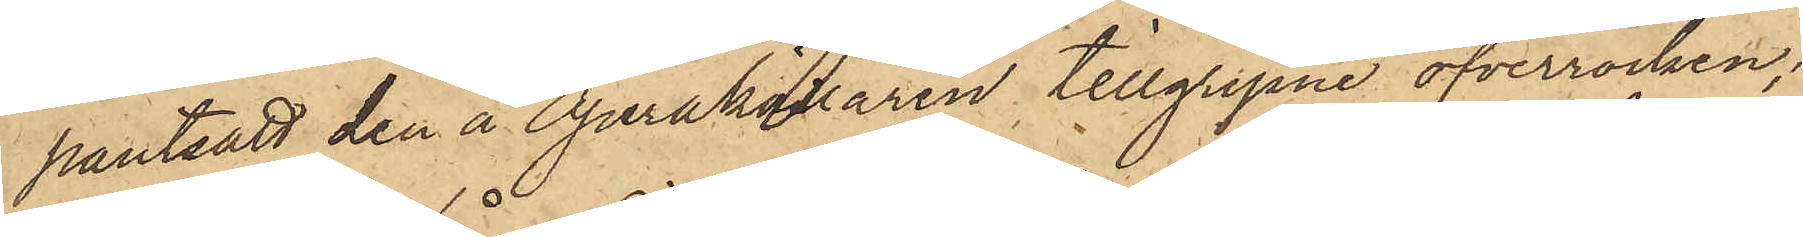pantsatt den å Operakällaren tillgripne öfverrocken;
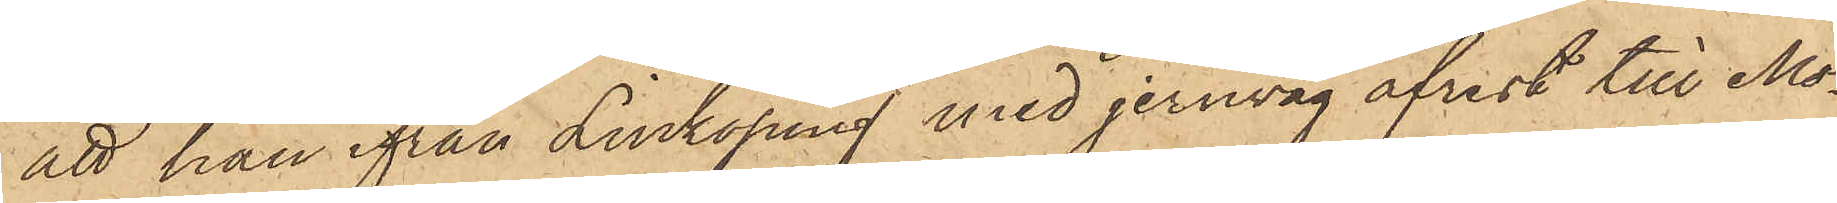att han ifrån Linköping med jernväg afrest till Mo¬
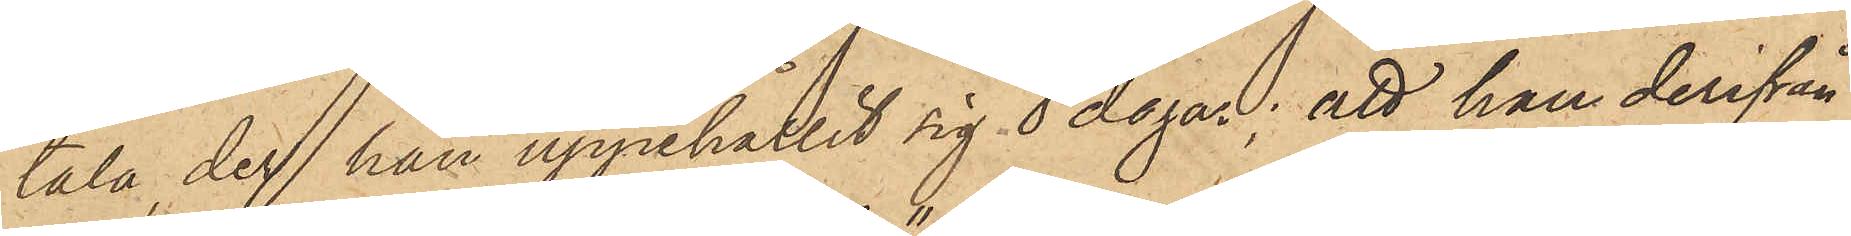tala, der han uppehållit sig i 8 dagar; att han derifrån
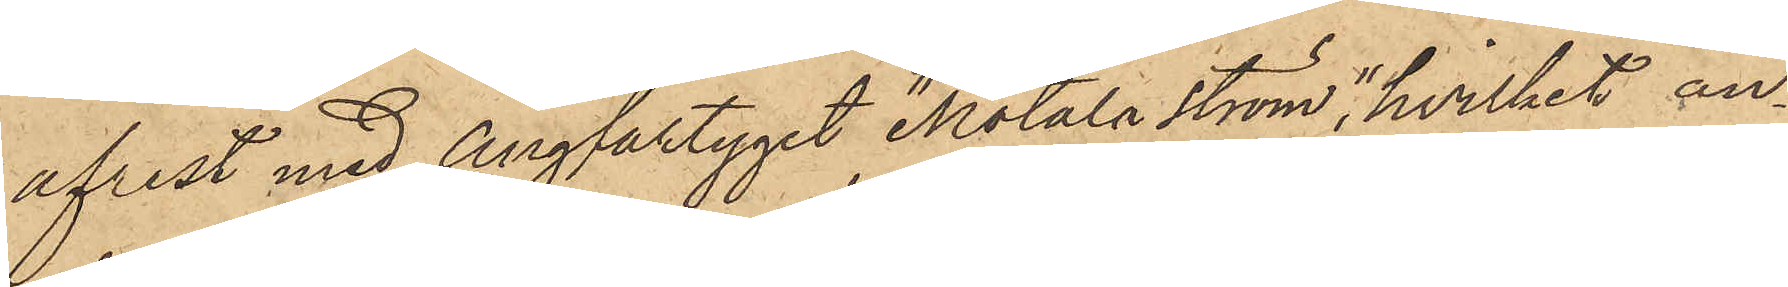afrest med Ångfartyget "Motala Ström", hvilket an¬
